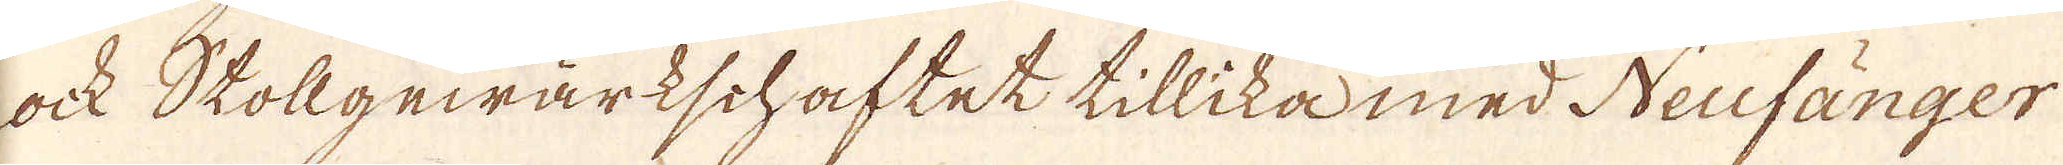ock Stollgewärkschaftet tillika med Neufänger
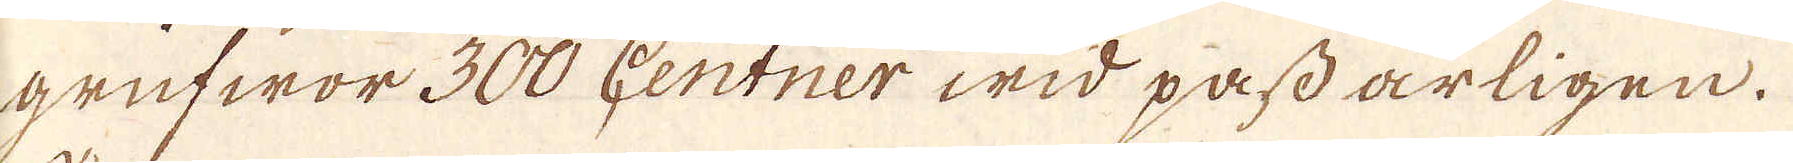grufwor 300 Centner wid pass årligen.
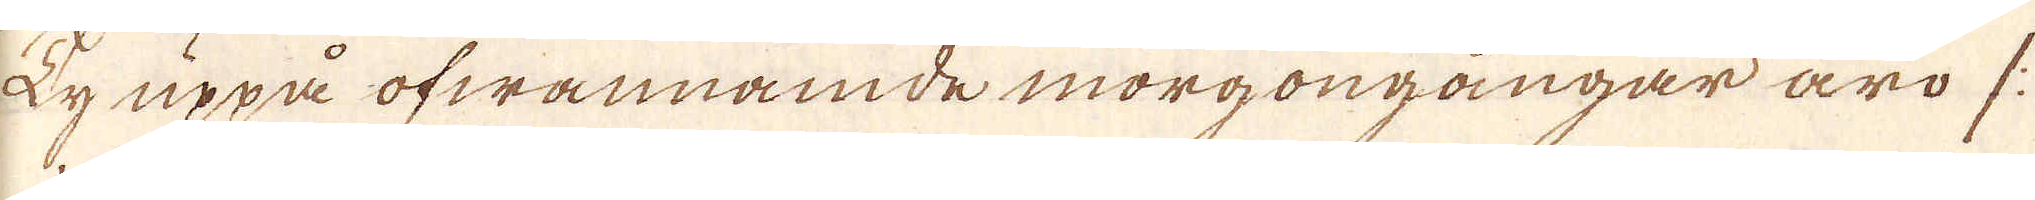Ty uppå ofwannämde morgongångar äro /:
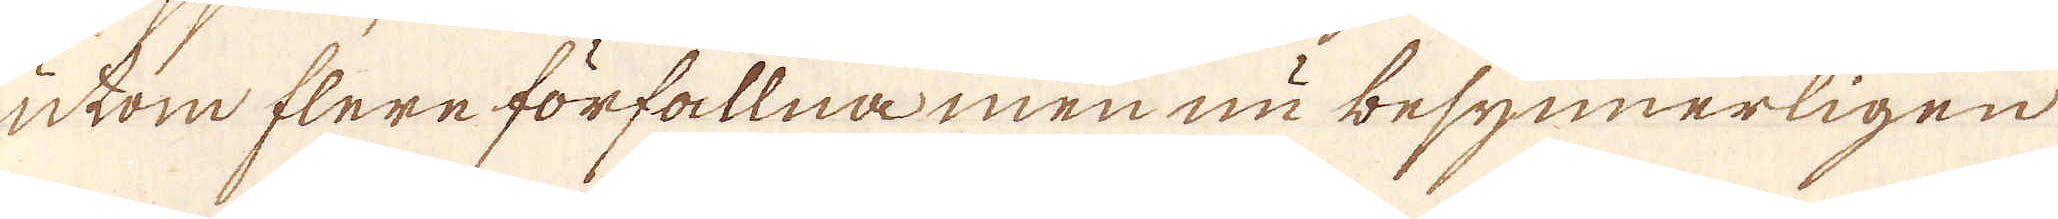utom flere förfallna men nu besynnerligen
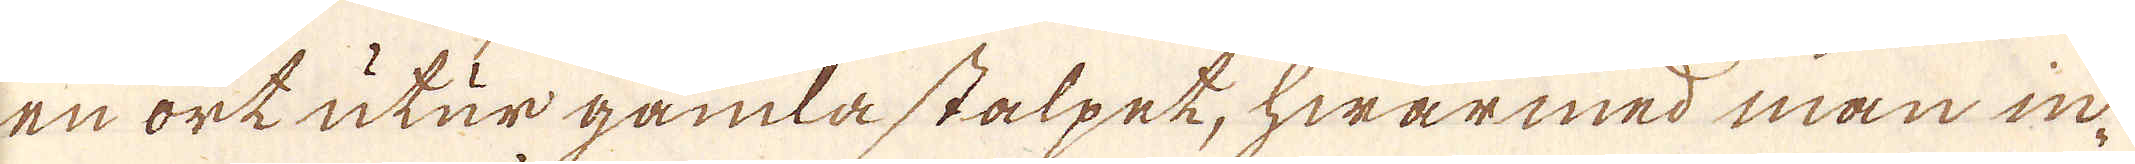en ort utur gamla stalpet, hwarmed man in-
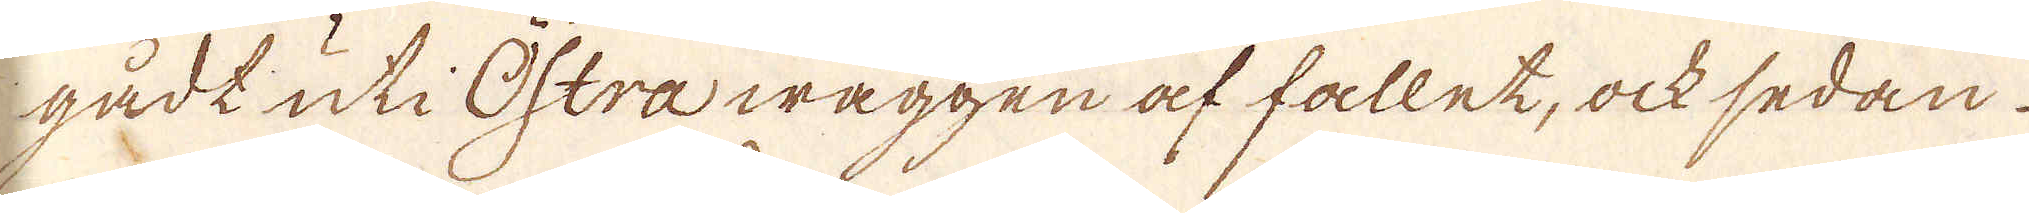gådt uti Östra wäggen af fallet, ock sedan
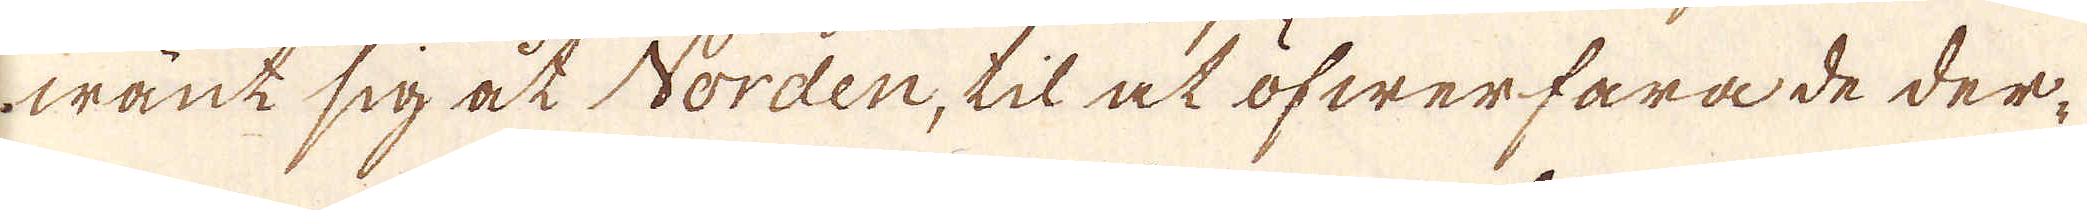wänt sig åt Norden, til at öfwerfara de der-
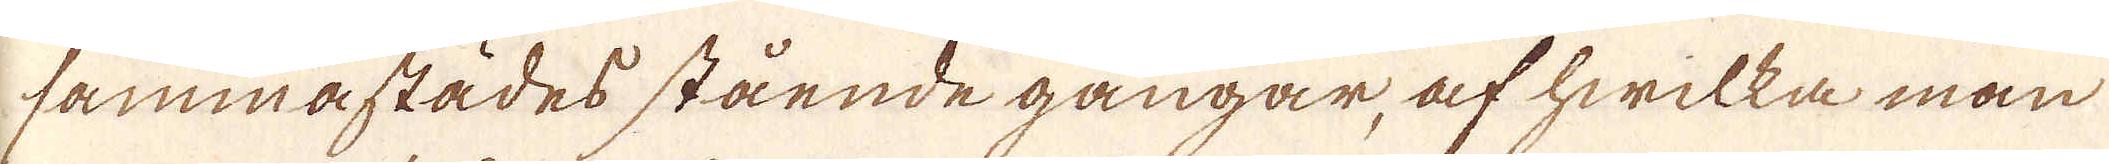sammastädes stående gångar, af hwilka man
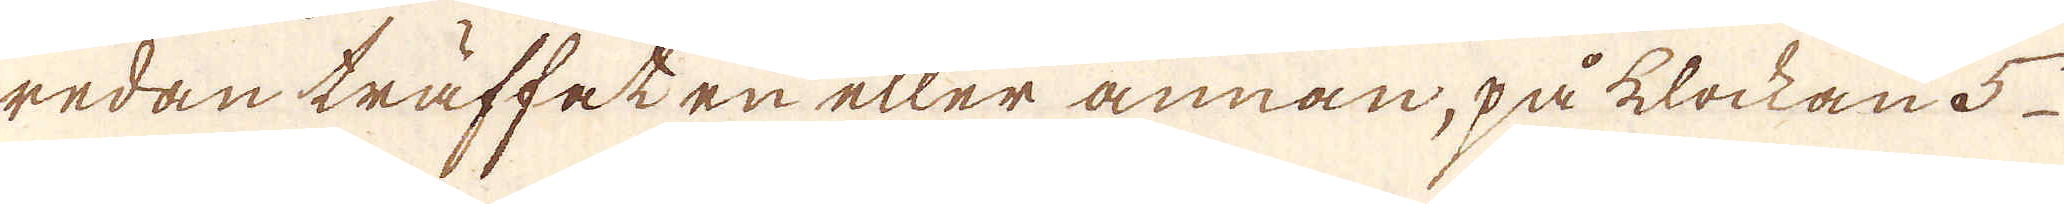redan träffeten eller annan, på klockan 5
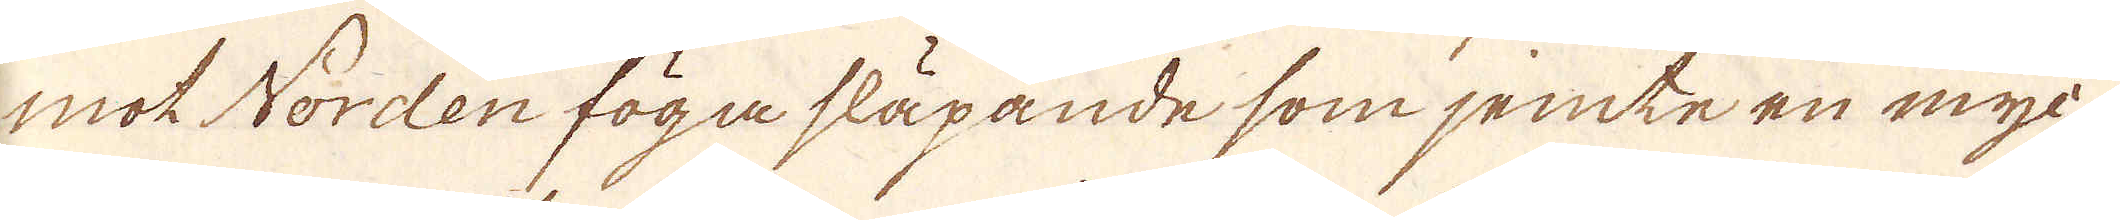mot Norden föga släpande som jemte en myc-
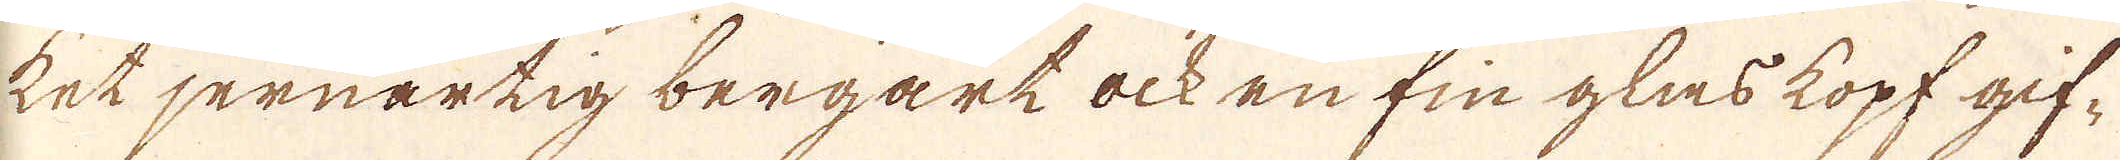ket jernartig bergart ock en fin glas kopf gif-
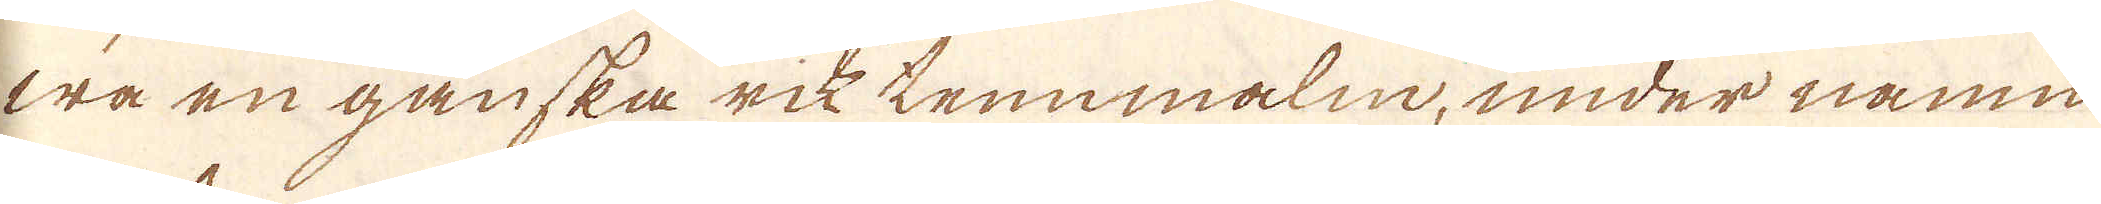wa en ganska rik tennmalm, under namn
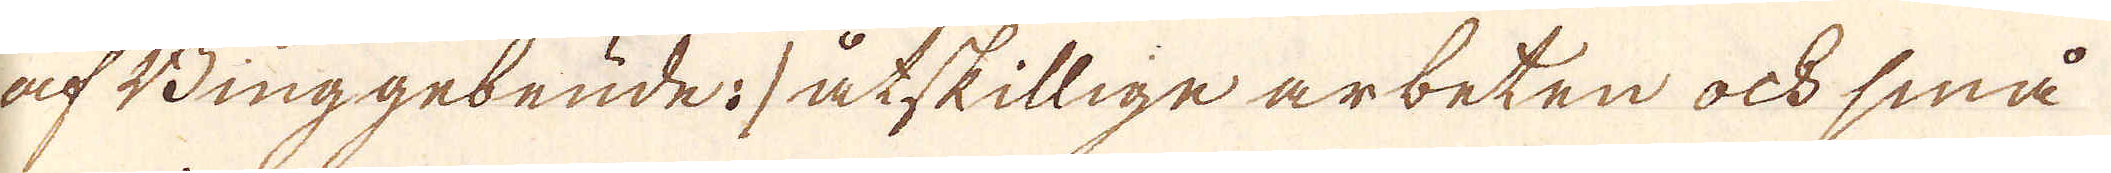af Binggebeude: åtskillige arbeten ock små
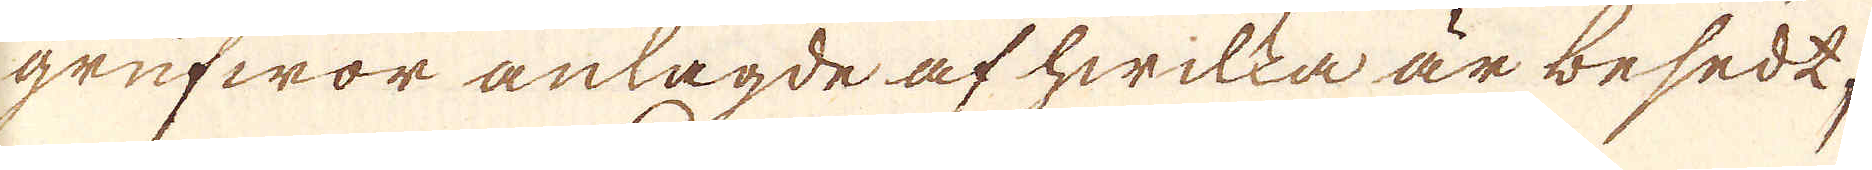grufwor anlagde af hwilka är besedt,
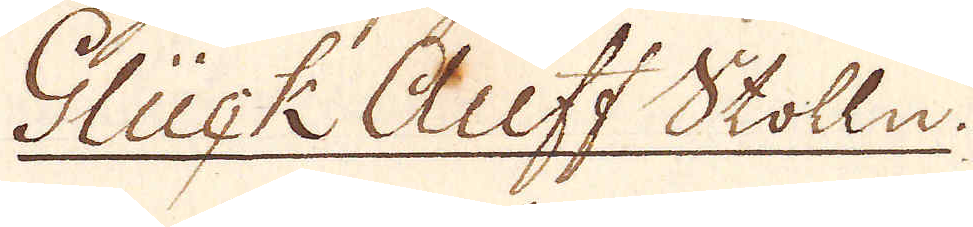Glück Auff Stolln.
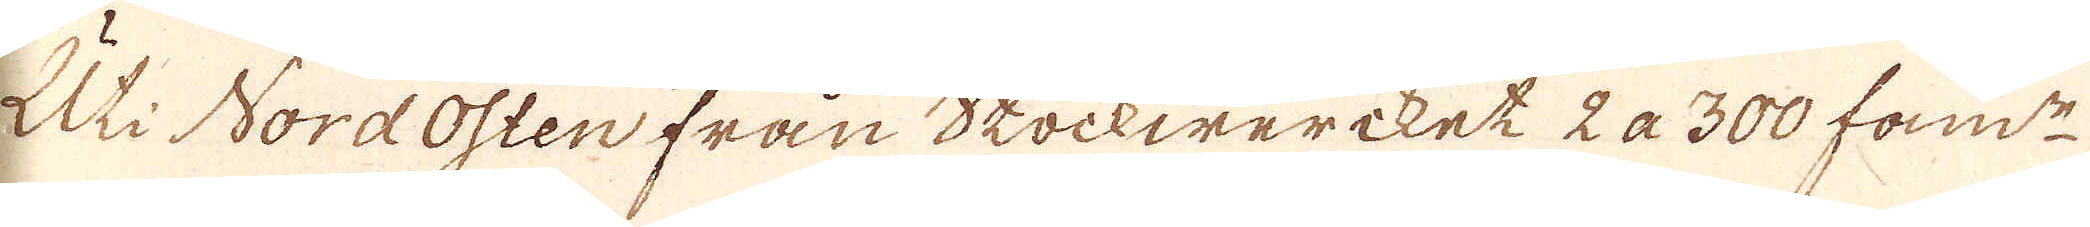Uti Nord Osten från Stockwerket 2 a 300 fam:r
